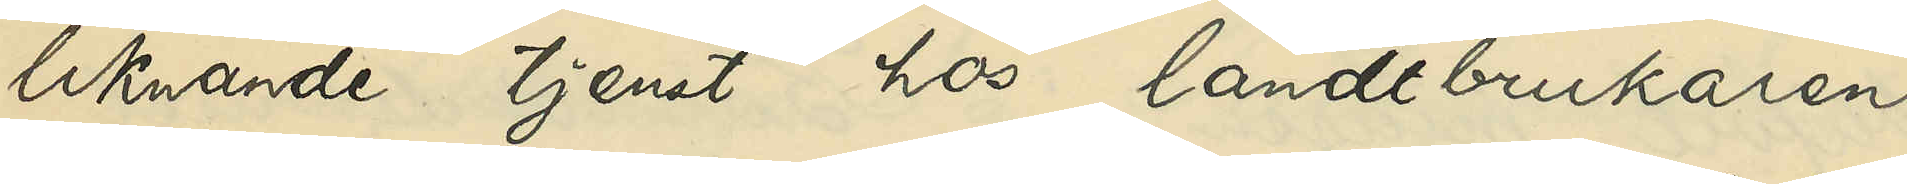liknande tjenst hos landtbrukaren
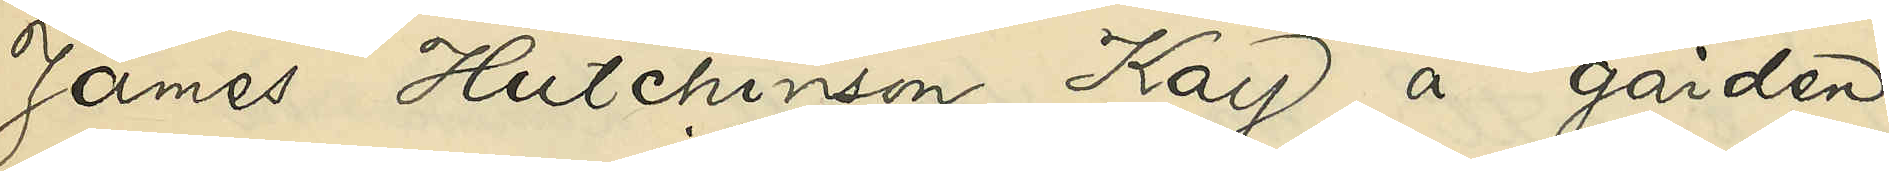James Hutchinson Kay å gården
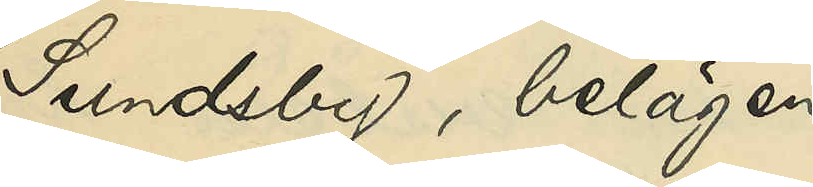Sundsby, belägen
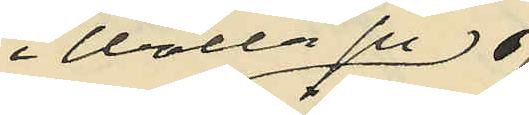i Walla sn
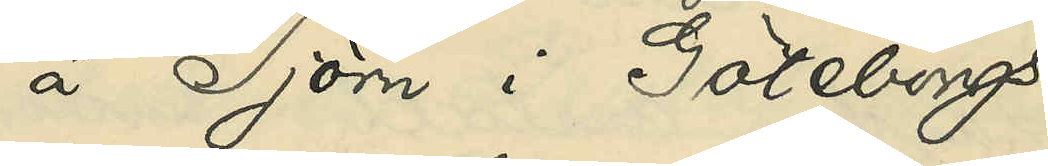å Tjörn i Göteborgs
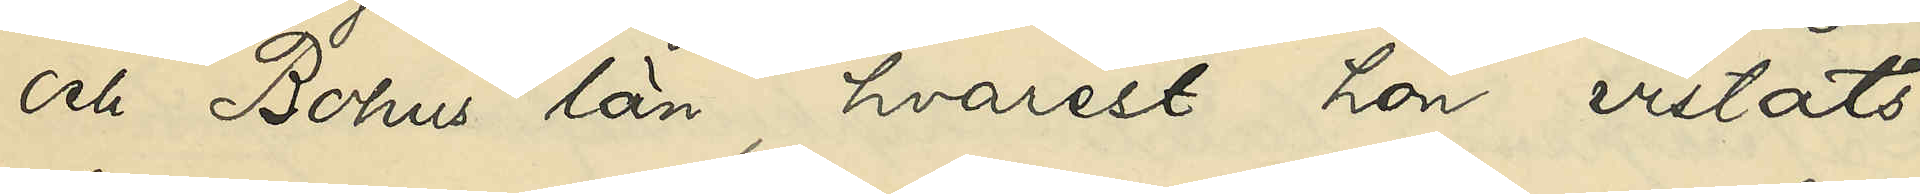och Bohus län, hvarest hon vistats
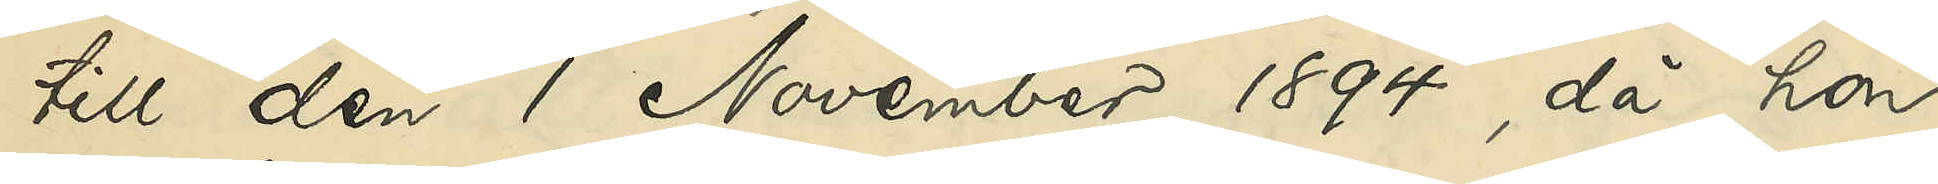till den 1 November 1894, då hon
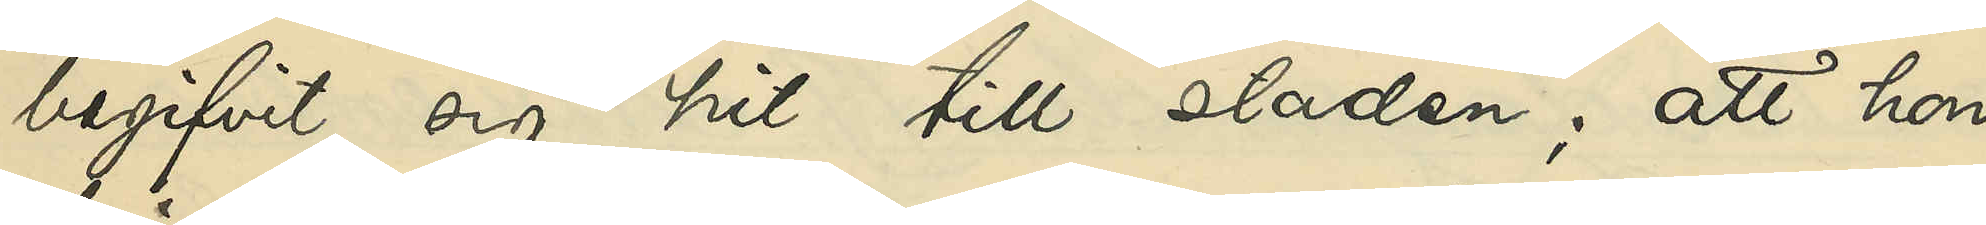begifvit sig hit till staden; att hon
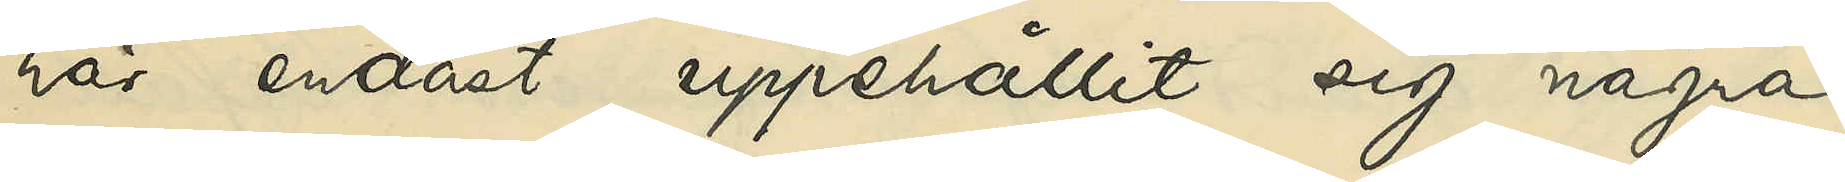här endast uppehållit sig några
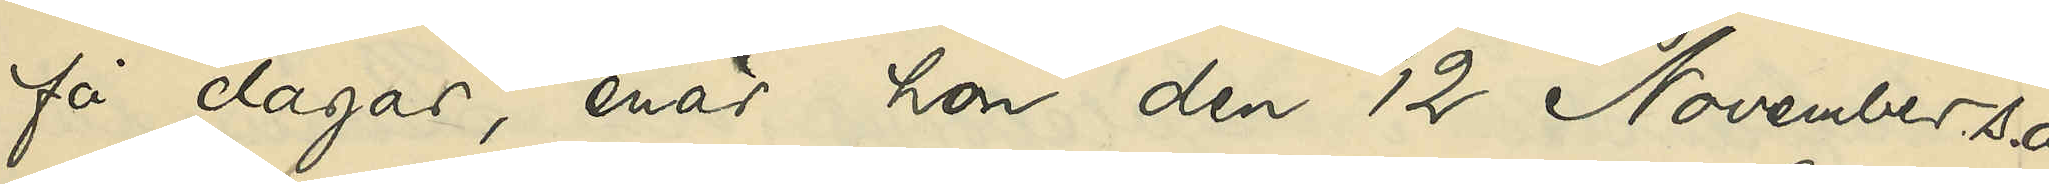få dagar, enär hon den 12 November s. å.
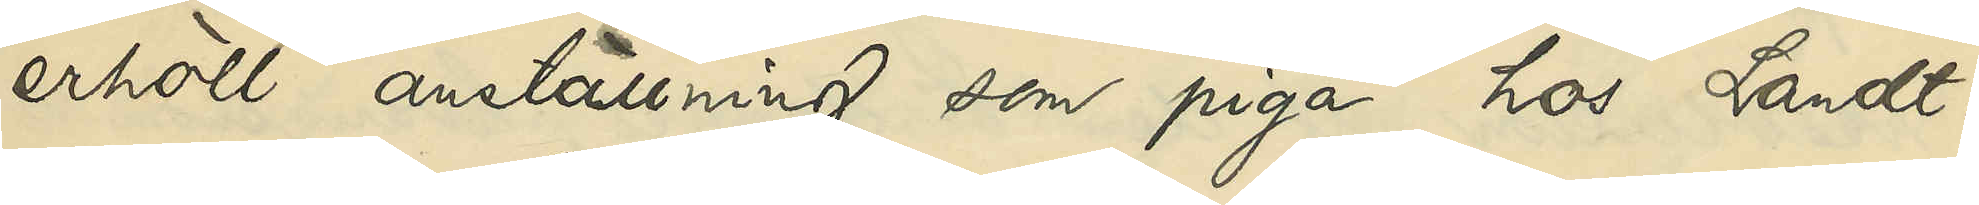erhöll anställning som piga hos Landt¬
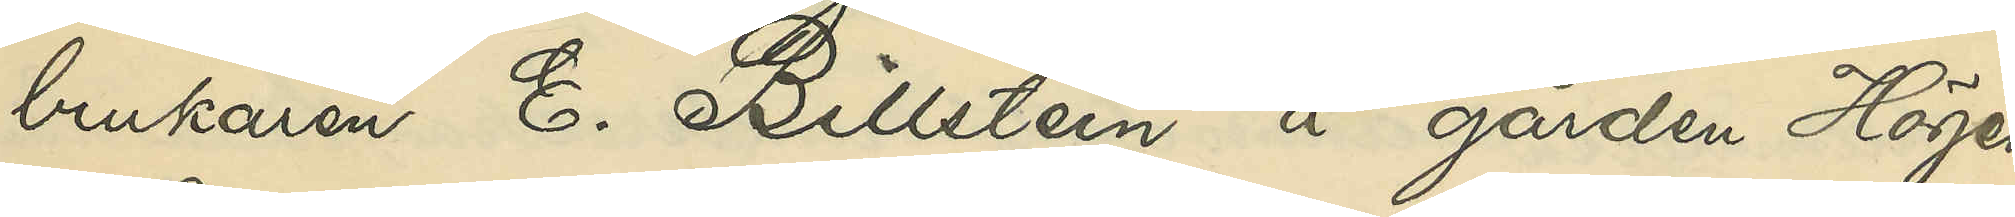brukaren E. Billstein å gården Höjen
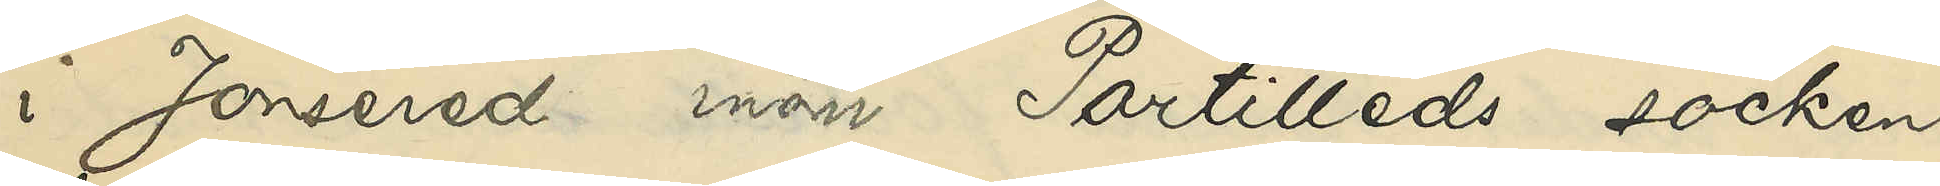i Jonsered inom Partilleds socken,
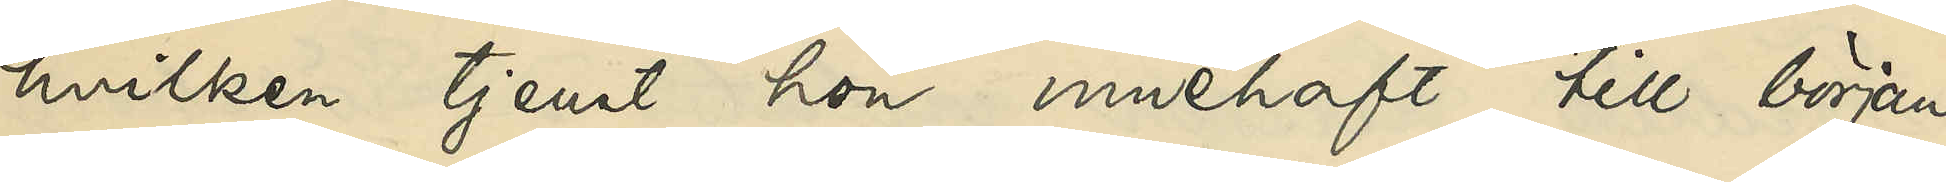hvilken tjenst hon innehaft till början
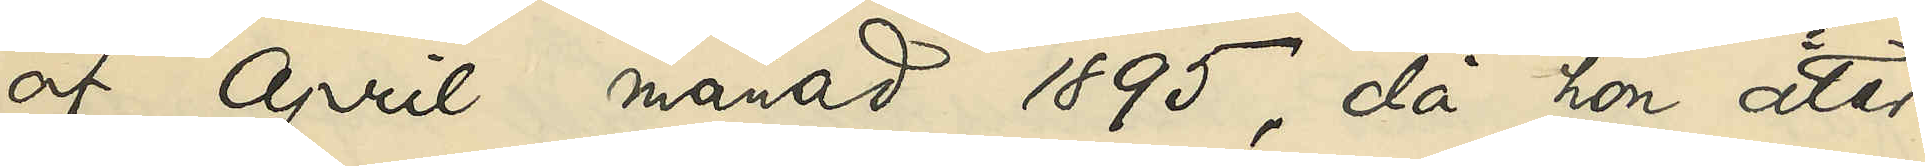af April månad 1895, då hon åter
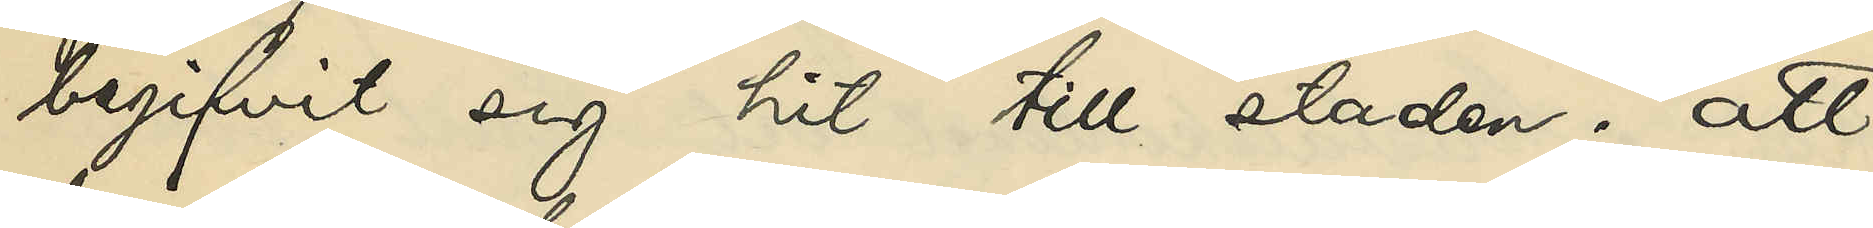begifvit sig hit till staden; att
